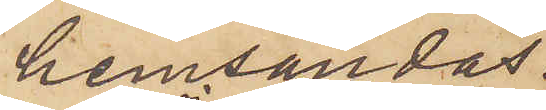hemsändas.
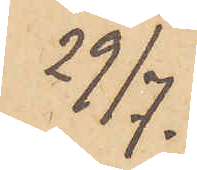29/7.
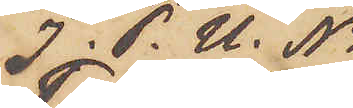I P. U. No
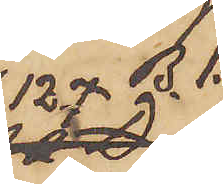127 B. 1.
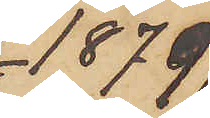1879
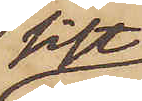sist
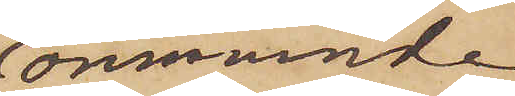omnämnde
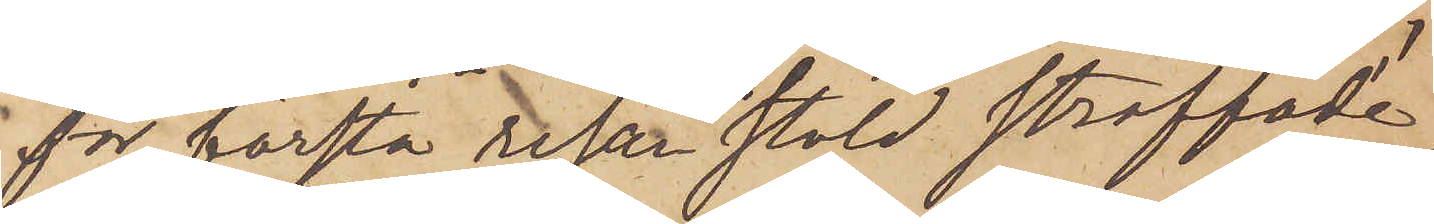för första resan stöld straffade
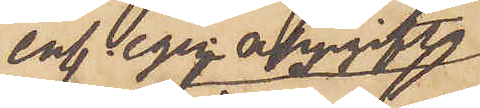enl egen uppgift
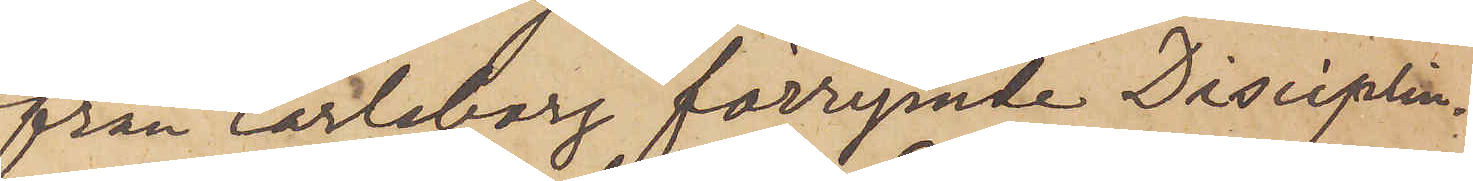från Carlsborg förrymde Disciplin¬
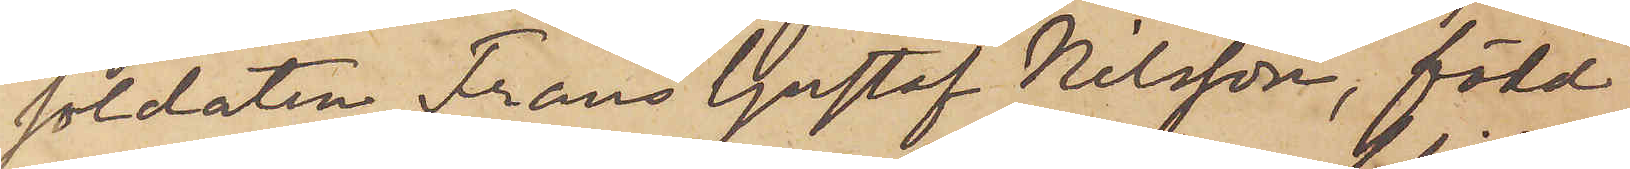soldaten Frans Gustaf Nilsson, född
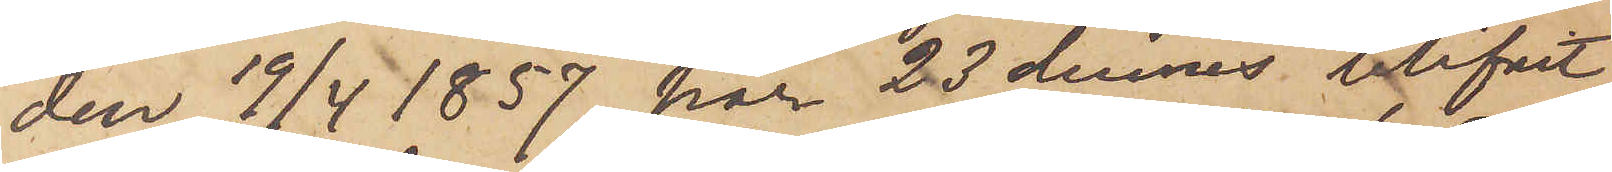den 19/4 1857, har 23 dennes blifvit
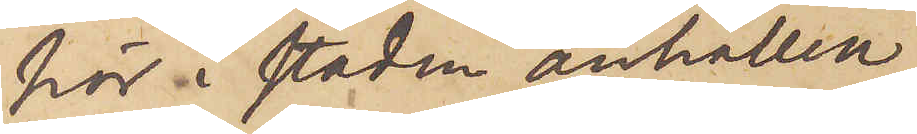här i staden anhållen
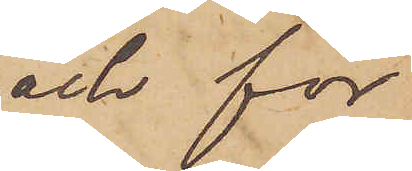och för
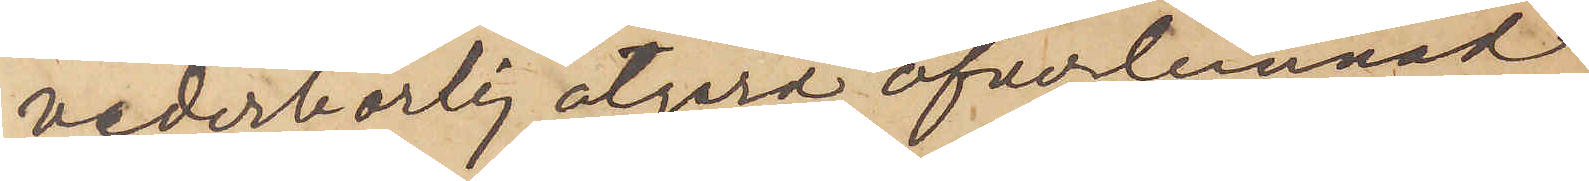vederbörlig åtgärd öfverlemnad
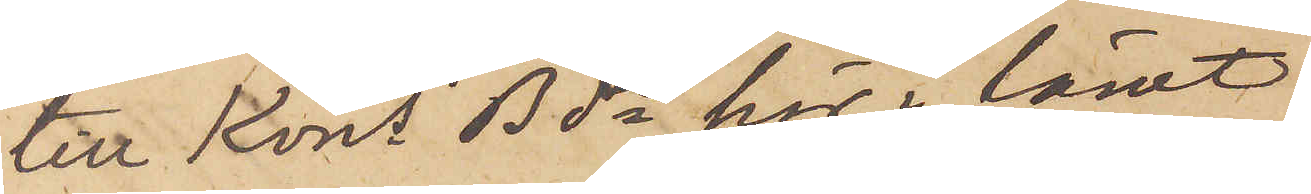till Kons Bde här i länet.
